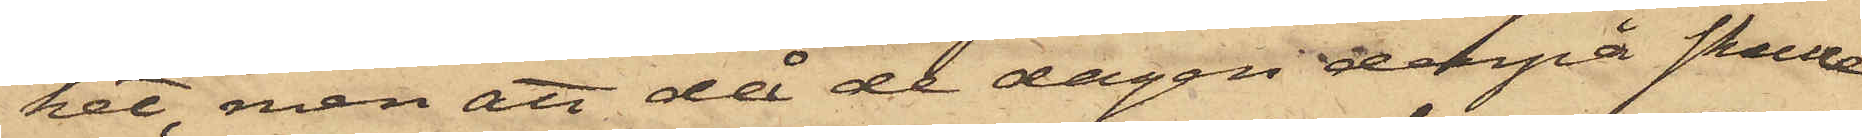ket, men att då de dagen derpå skulle
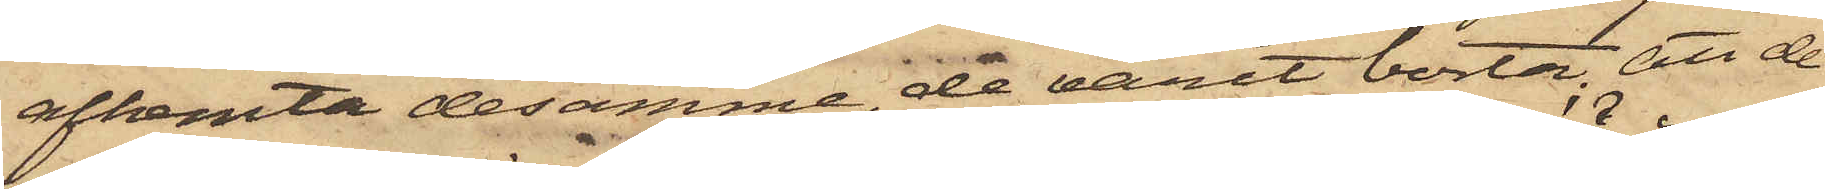afhemta desamme, de varit borta, att de
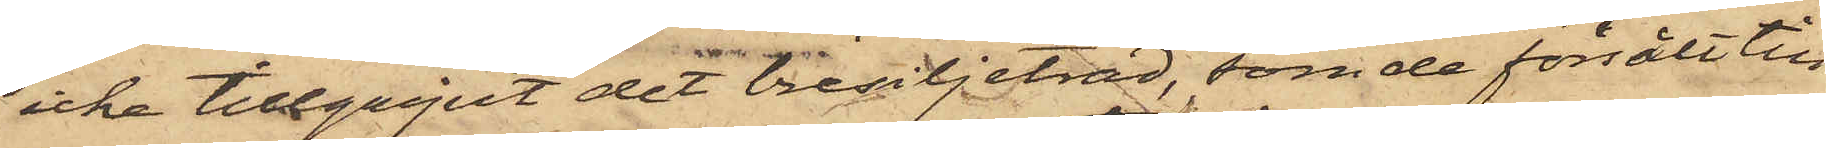icke tillgripit det bresiljeträd, som de försålt till
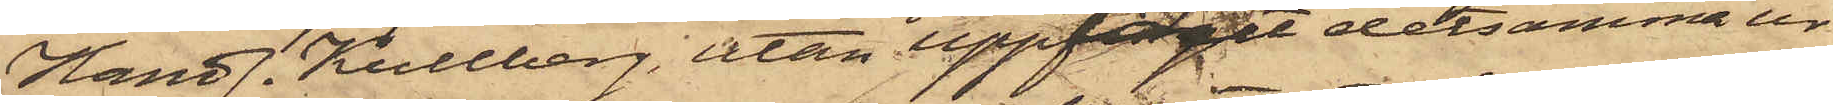Handl. Kullberg, utan upptagit detsamma ur
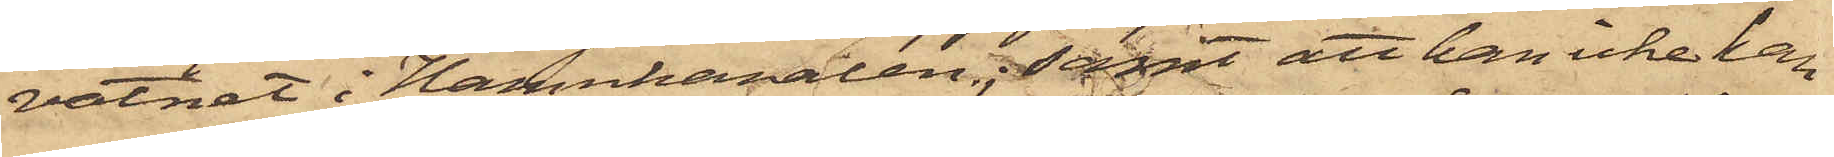vatnet i Hamnkanalen; samt att han icke kan
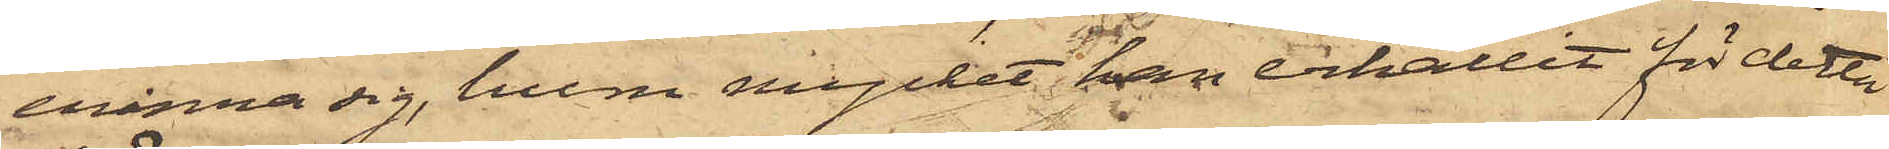erinra sig, huru mycket han erhållit för detta
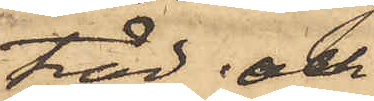träd, och
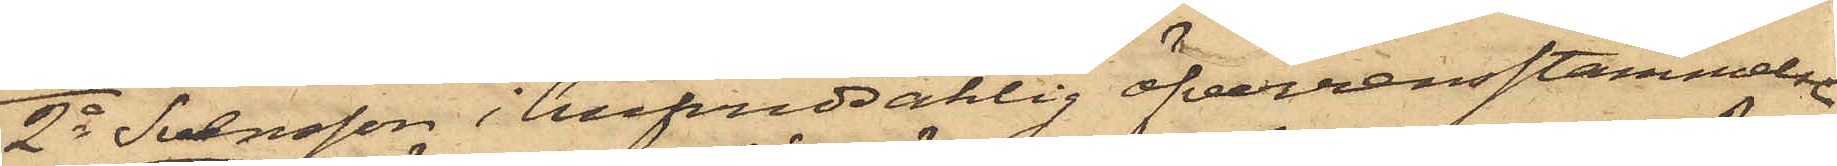2o Svensson i hufvudsaklig öfverensstämmelse
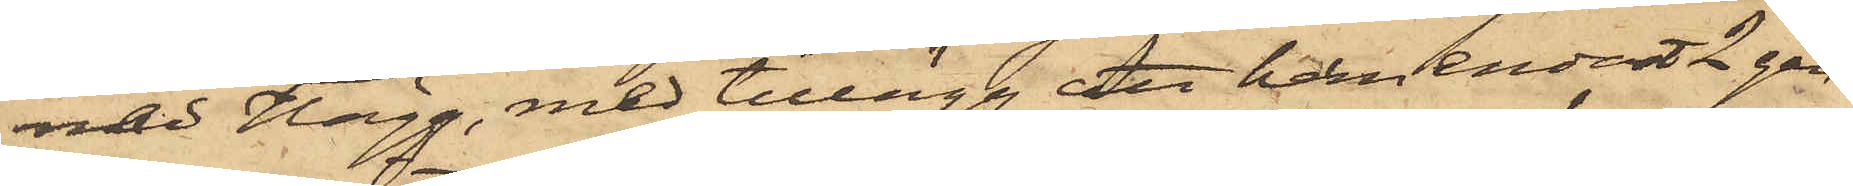med Hägg, med tillägg att han endast 2 gån¬
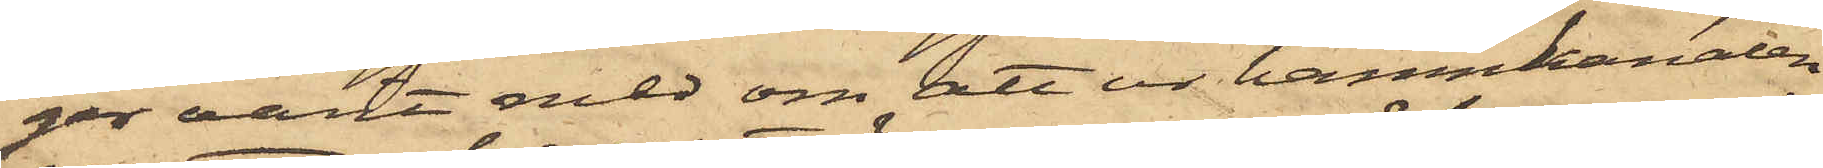ger varit med om att ur hamnkanalen
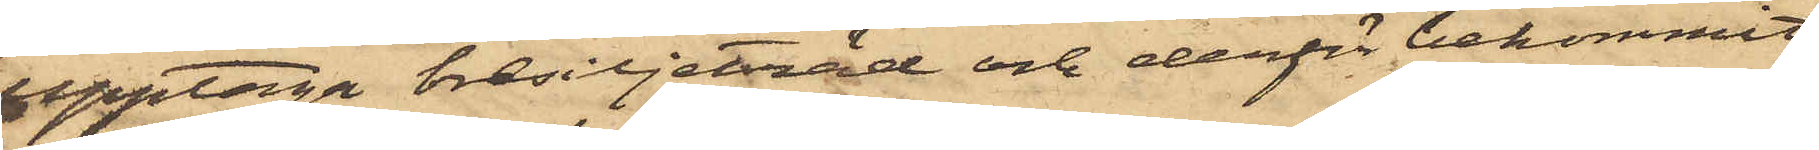upptaga bresiljeträd och derför bekommit
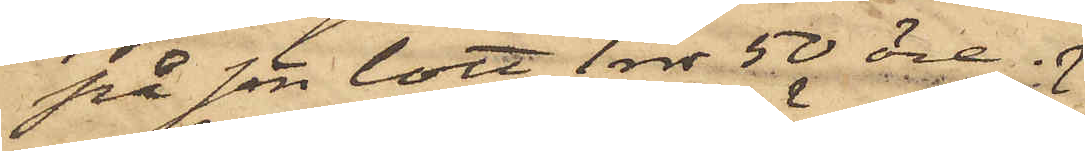på sin lott 1 rdr 50 öre.
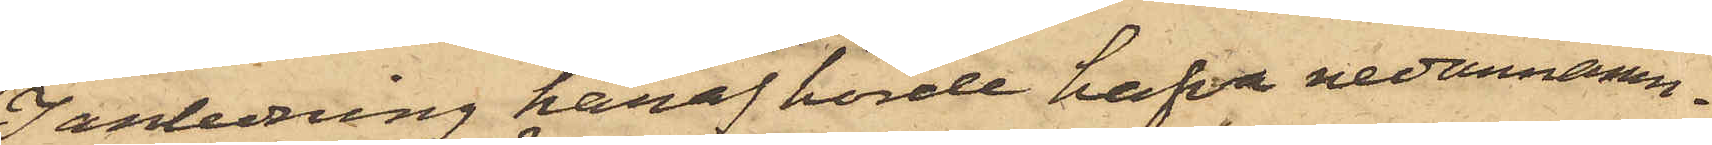I anledning häraf hörde hafva nedannämn¬
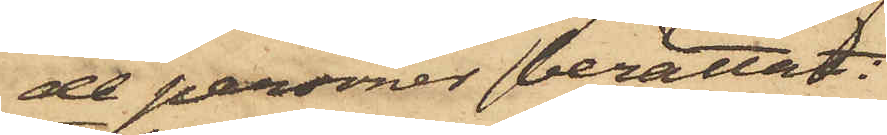de personer berättat:
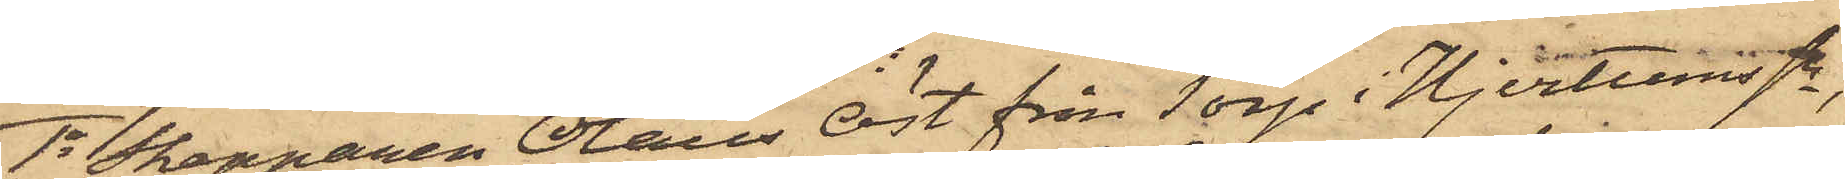1o Skepparen Olaus Öst från Torp i Hjertums Sn,
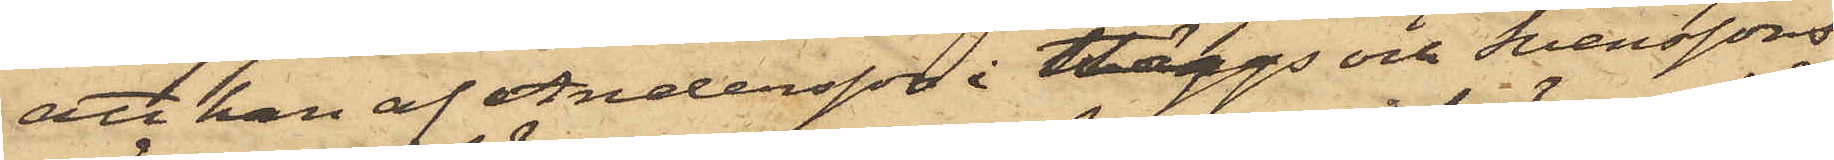att han af Andersson i Häggs och Svenssons
